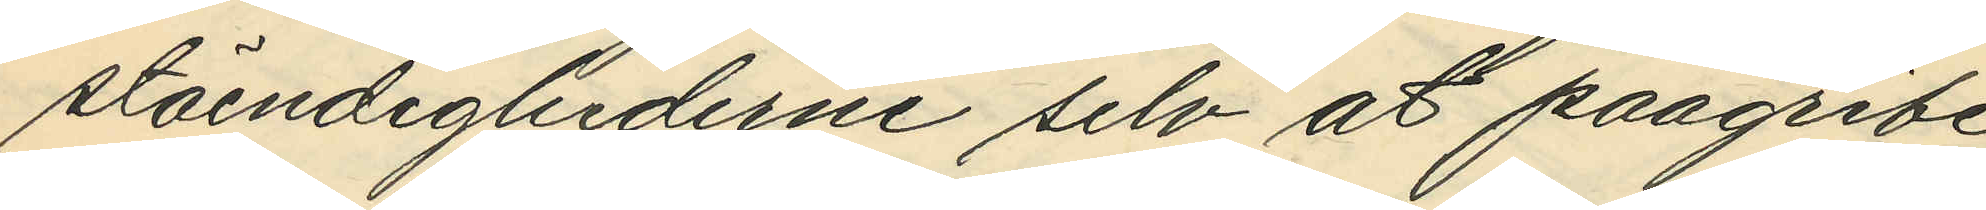stäendighederne selv at paagribe
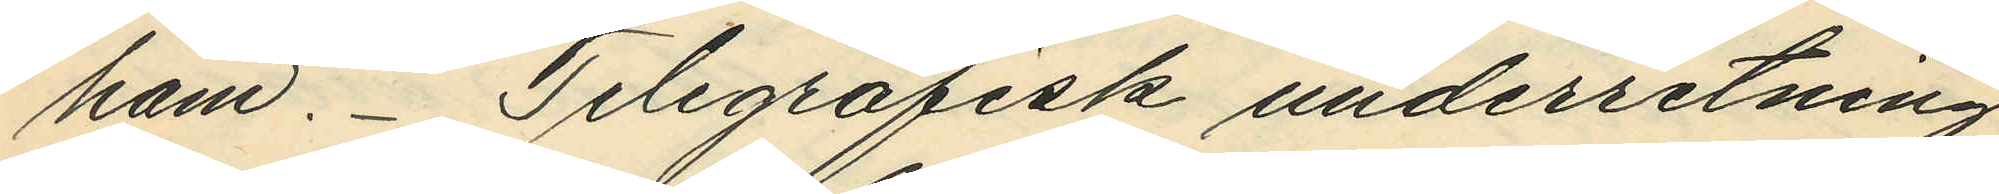ham. Telegrafisk underretning
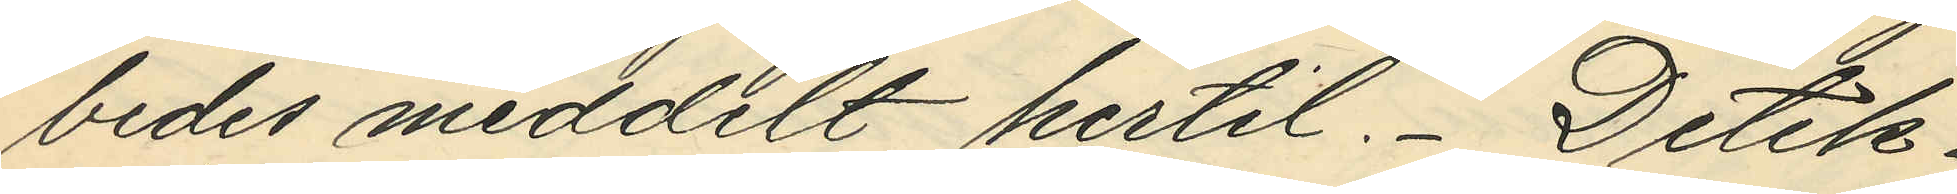bedes meddelt hertil. Detek¬
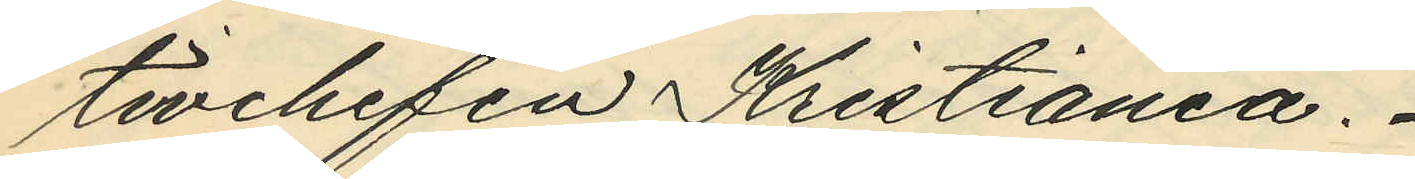tivchefen Kristiania.
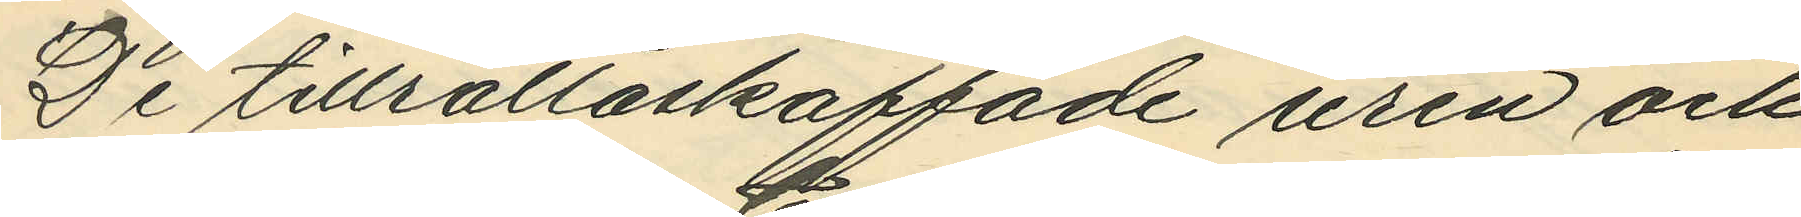De tillrättaskaffade uren och
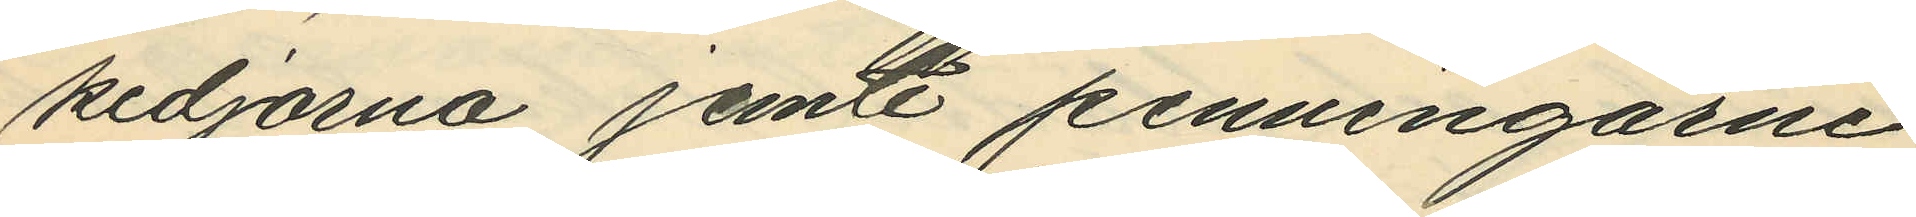kedjorna jemte penningarne
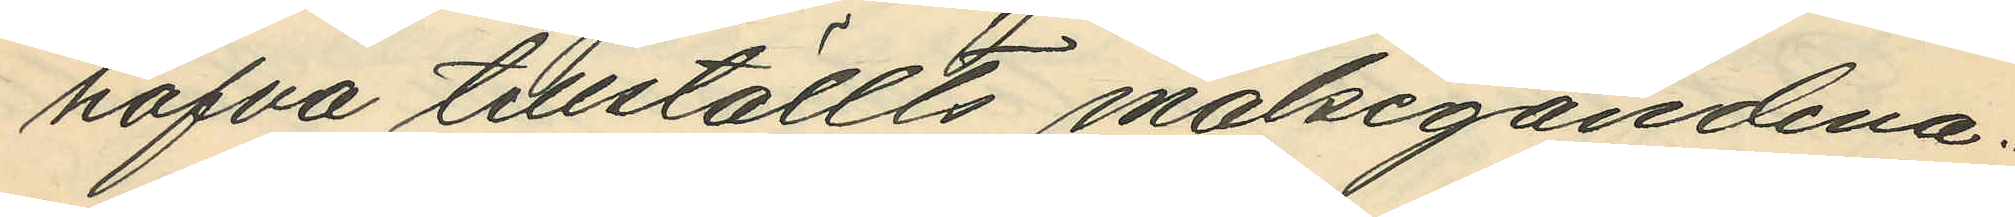hafva tillställts målsegandena.
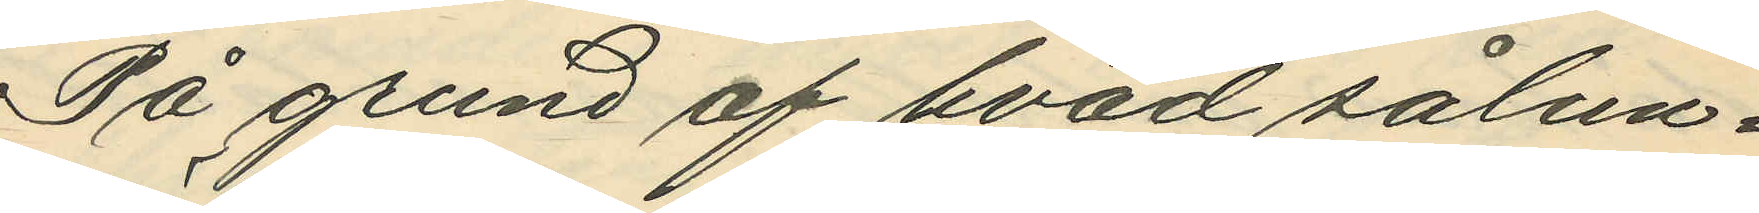På grund af hvad sålun¬
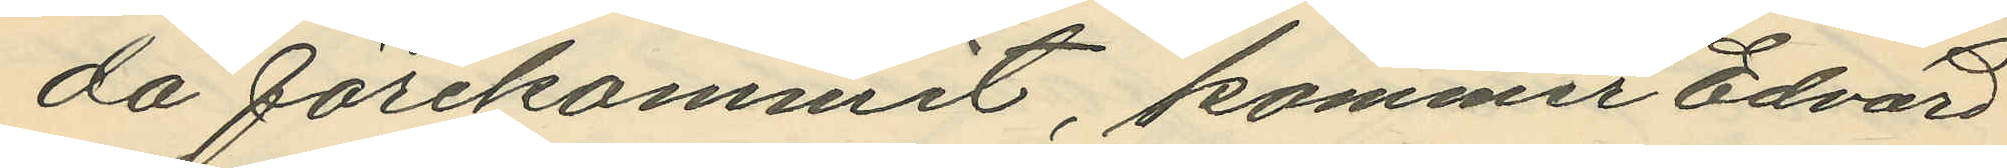da förekommit, kommer Edvard
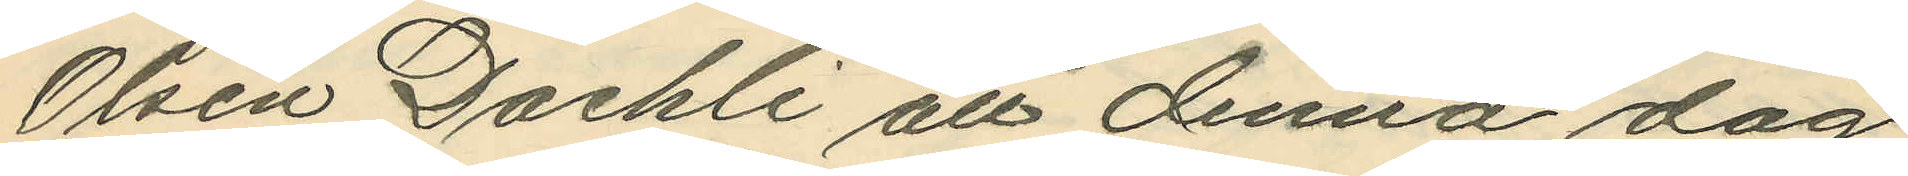Olsen Daehli att denna dag
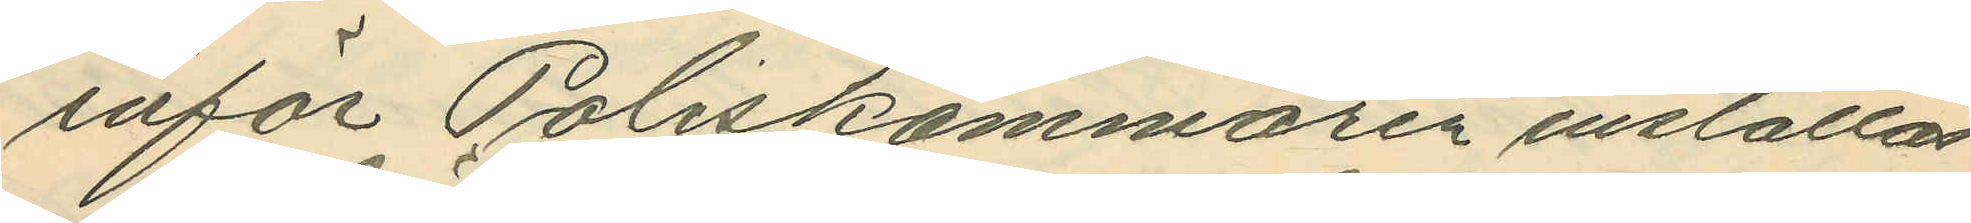inför Poliskammaren inställas.
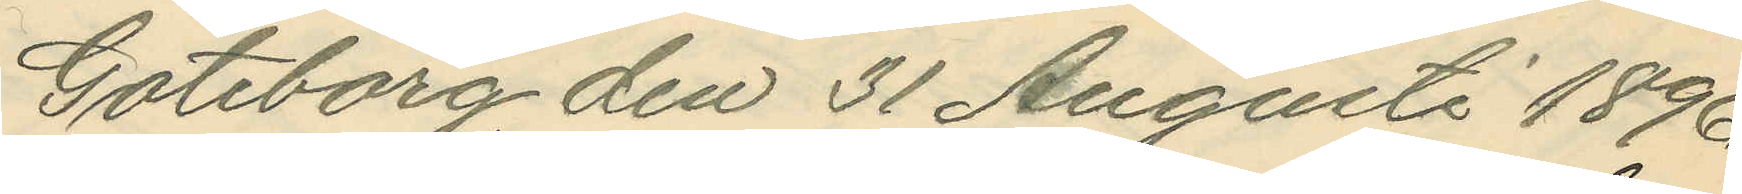Göteborg den 31 Augusti 1896.
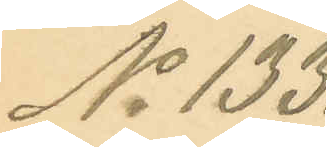No 133.
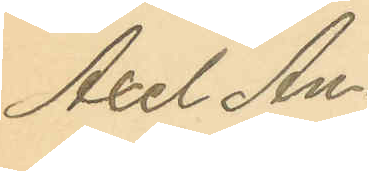Axel An¬
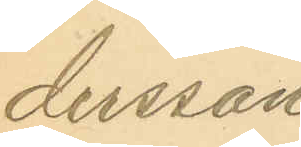dersson
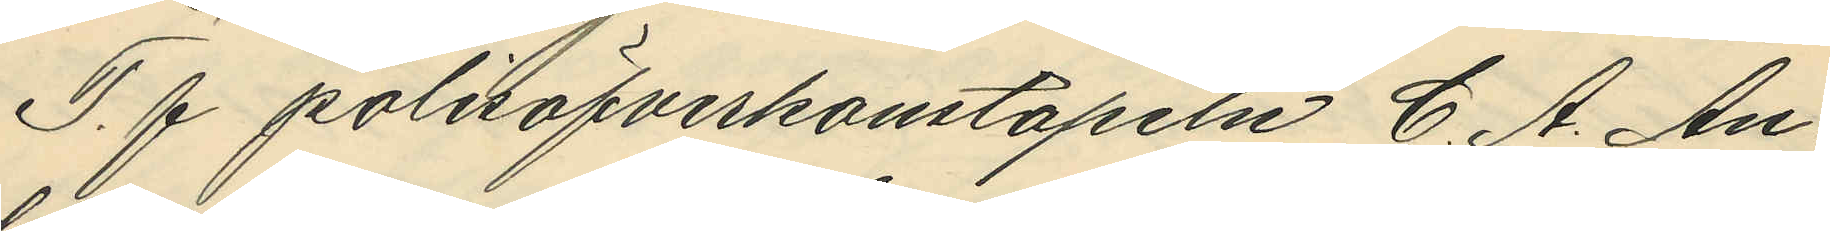T. f polisöfverkonstapeln C. A. An¬
